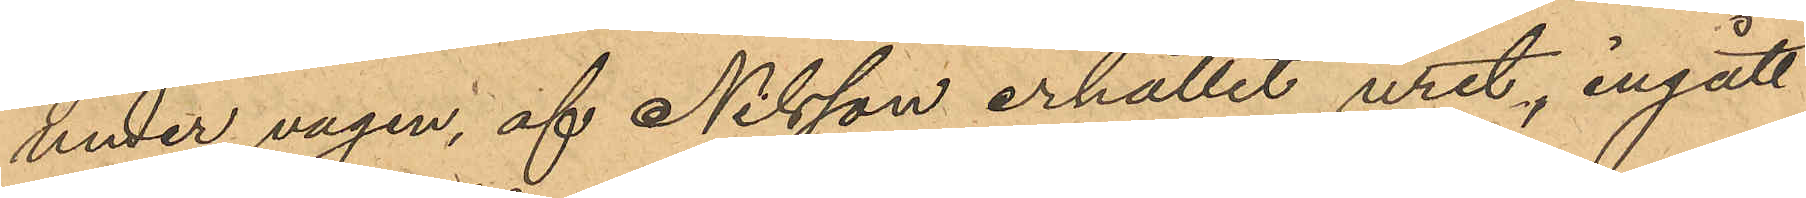under vägen, af Nilsson erhållit uret, ingått
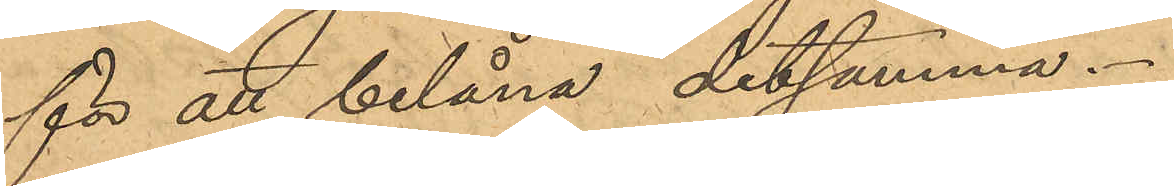för att belåna detsamma.
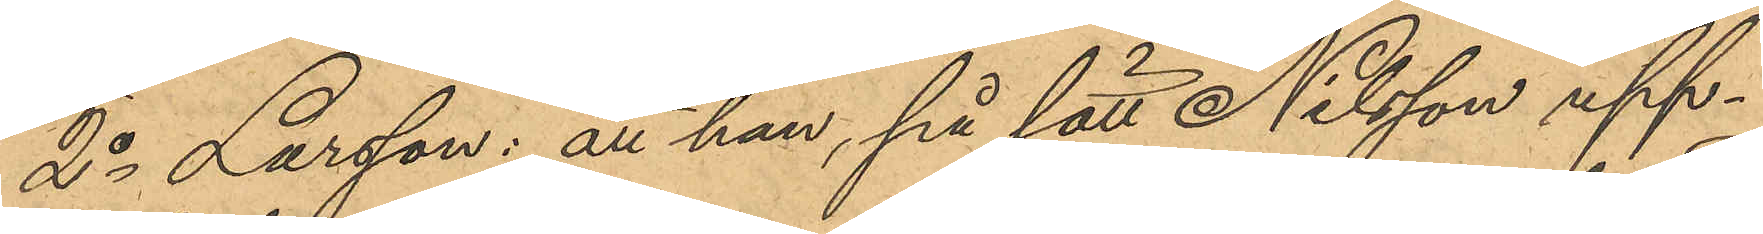2o Larsson: att han, på sätt Nilsson upp¬
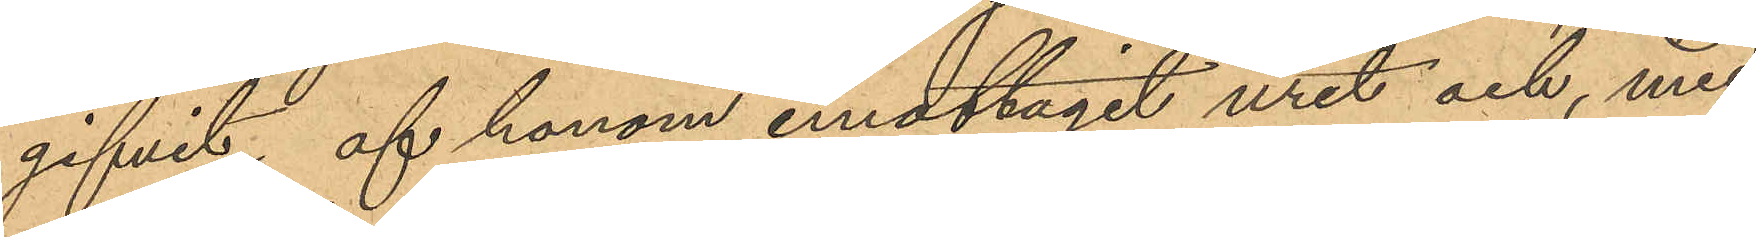gifvit, af honom emottagit uret och, med
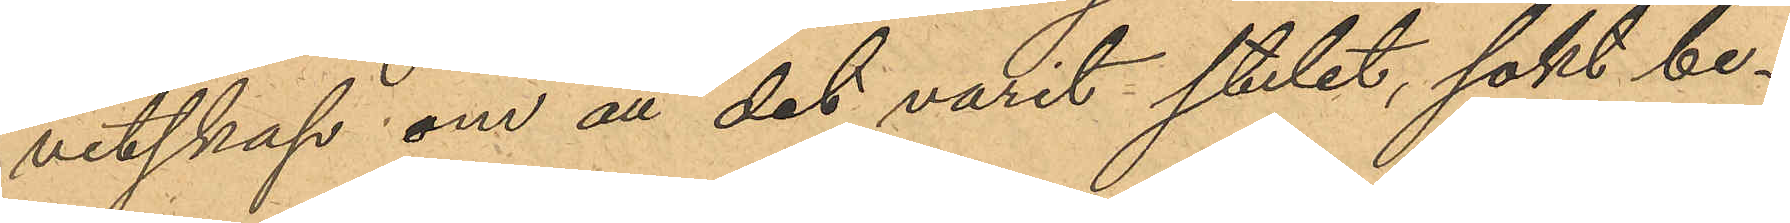vetskap om att det varit stulet, sökt be¬
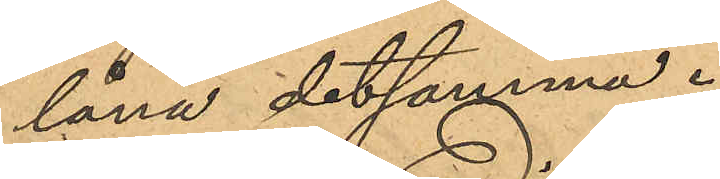låna detsamma.
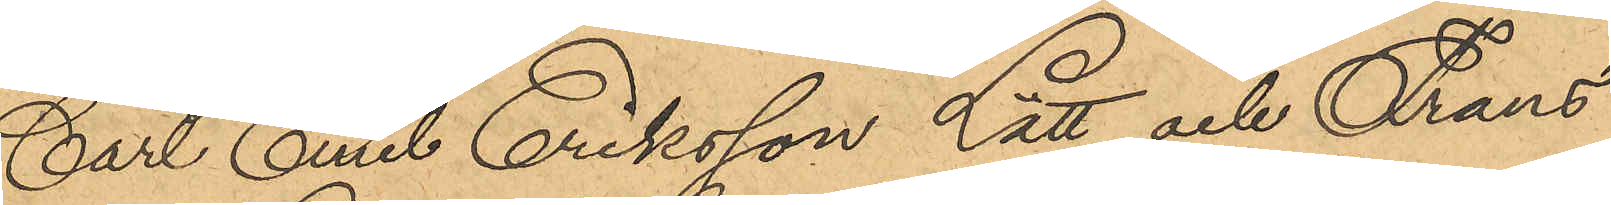Carl Emil Eriksson Lätt och Frans
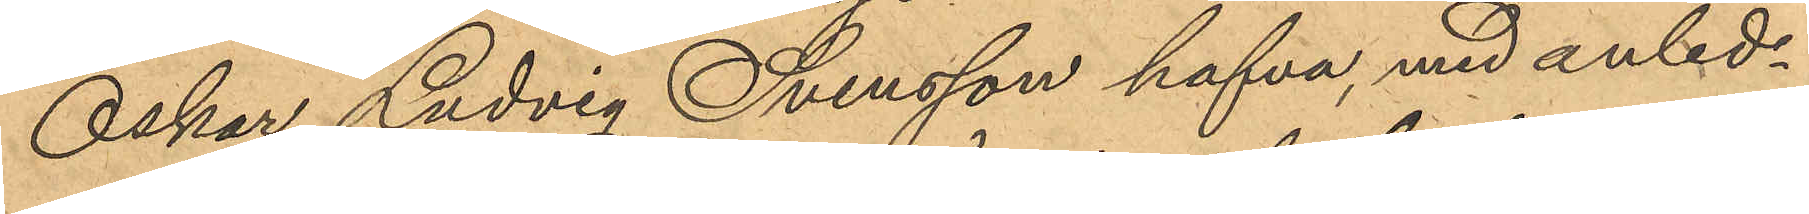Oskar Ludvig Svensson hafva, med anled¬
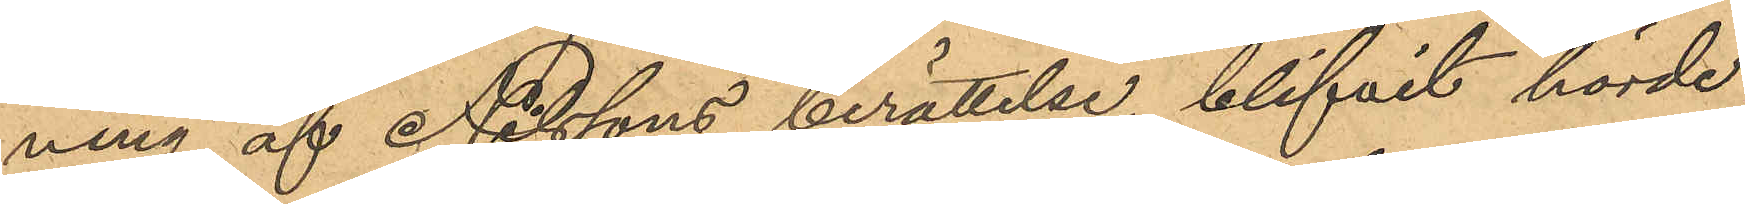ning af Nilssons berättelse, blifvit hörde,
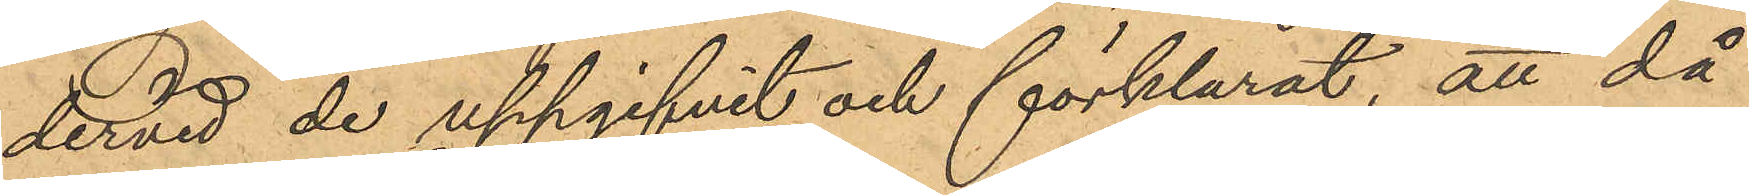dervid de uppgifvit och förklarat, att då
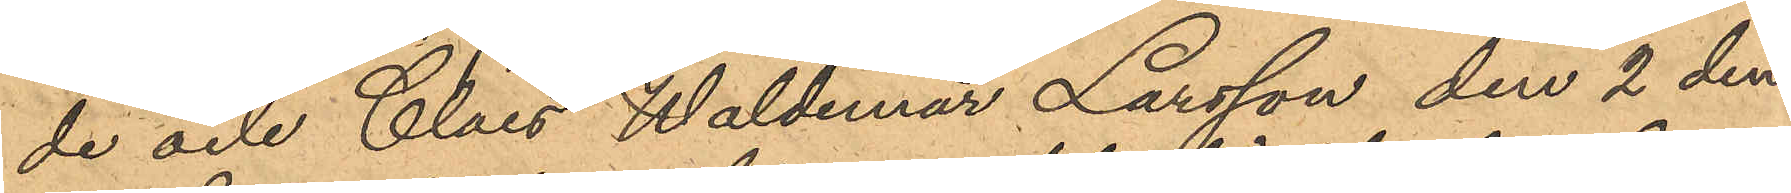de och Claes Waldemar Larsson den 2 den¬
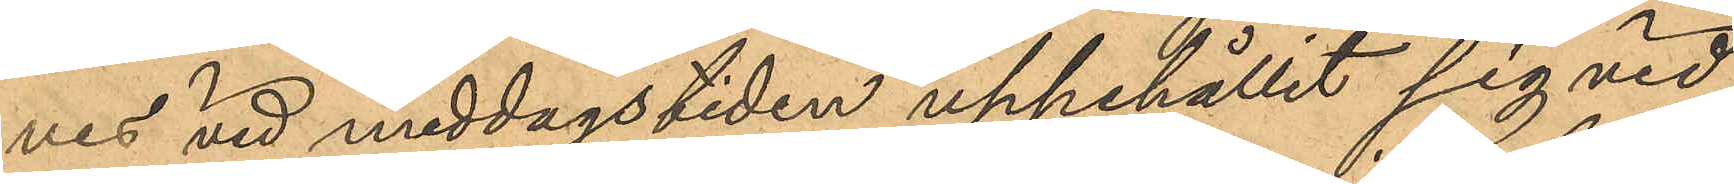nes vid middagstiden uppehållit sig vid
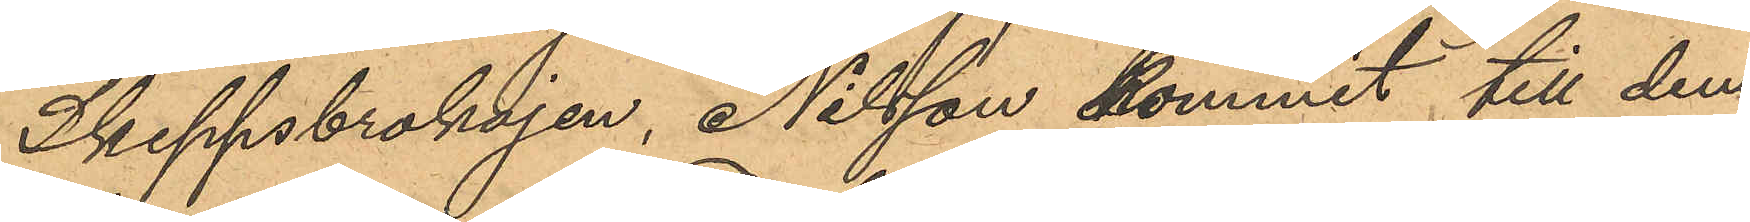Skeppsbrokajen, Nilsson kommit till dem
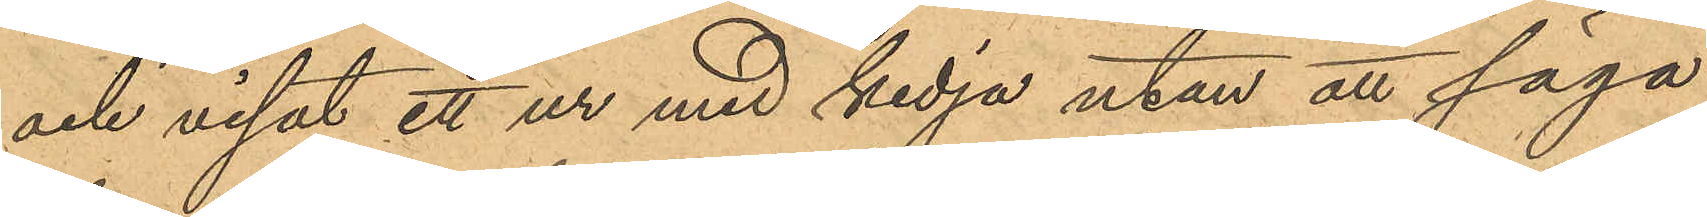och visat ett ur med kedja utan att säga
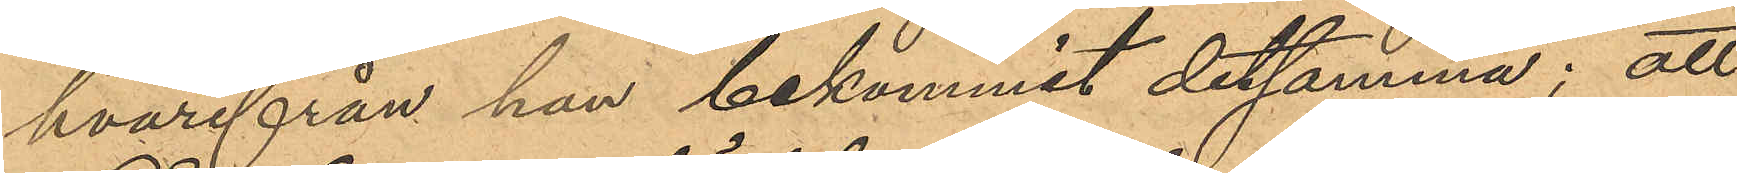hvarifrån han bekommit detsamma; att
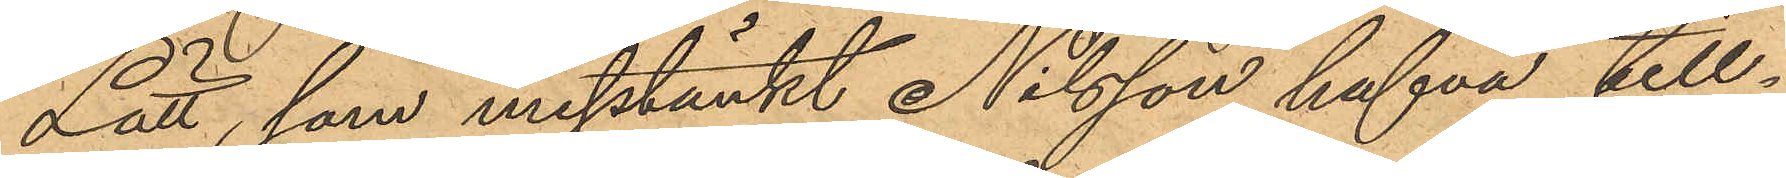Lätt, som misstänkt Nilsson hafva till¬
